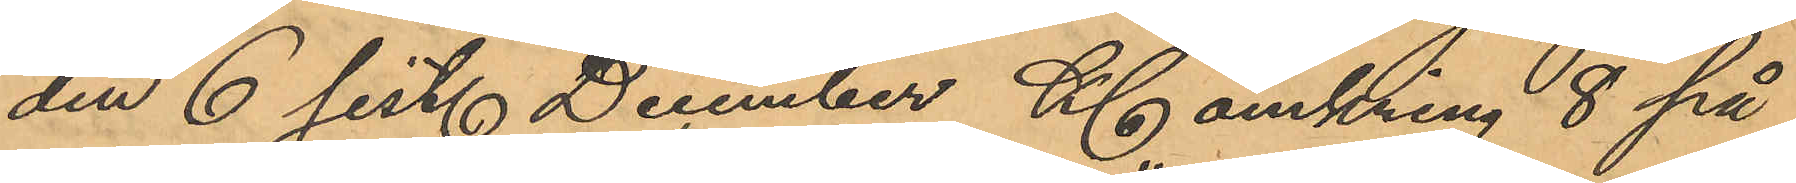den 6 sist. December Kl omkring 8 på
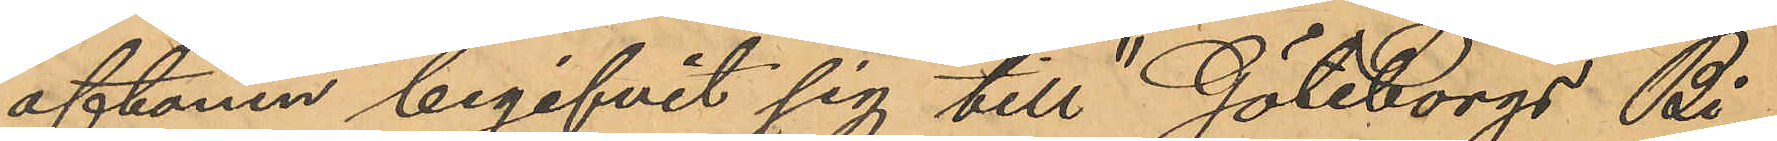aftonen begifvit sig till "Göteborgs Bi¬
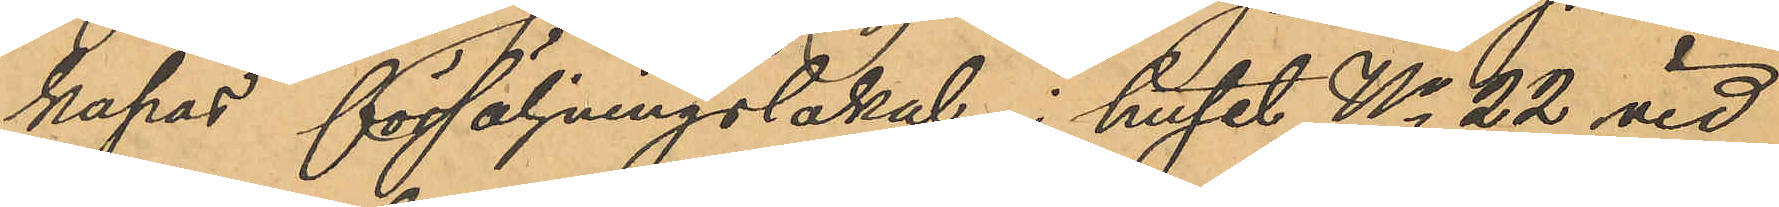kupas" försäljningslokal i huset No 22 vid
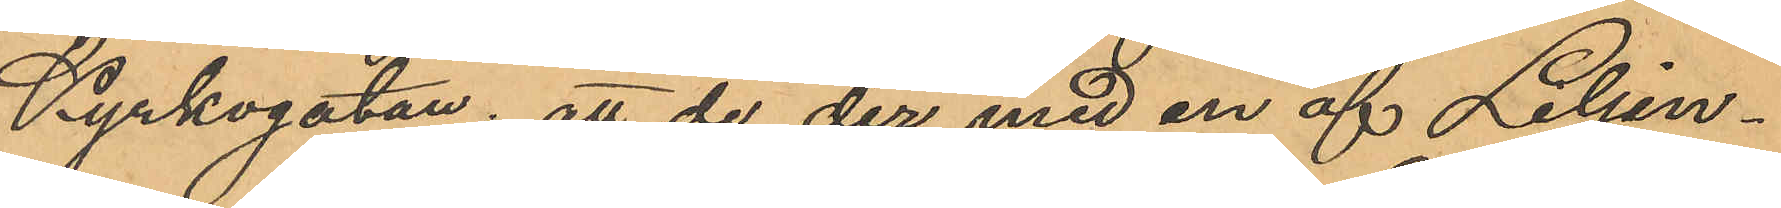Kyrkogatan; att de der med en af Liljen¬
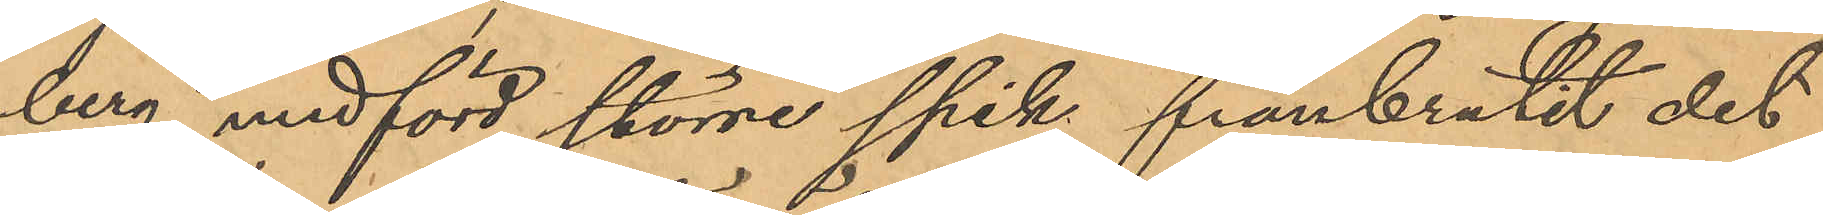berg medförd större spik frånbrutit det
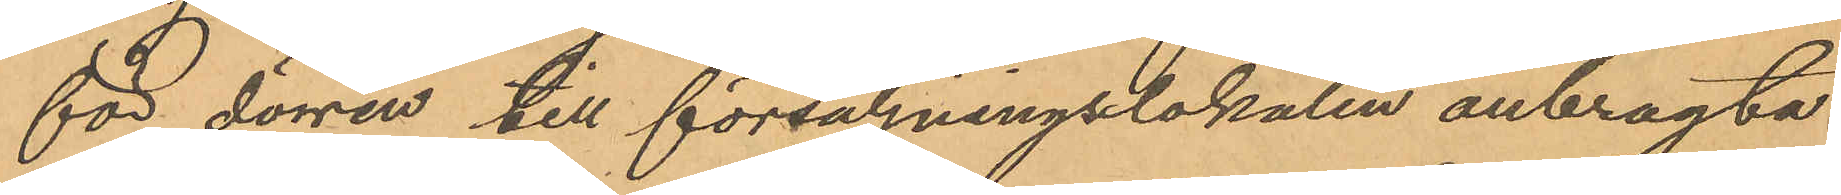för dörren till försäljningslokalen anbragta
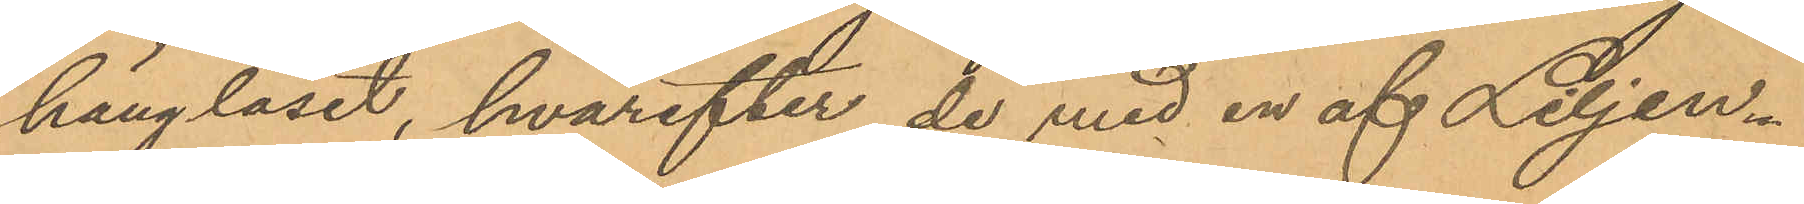hänglåset, hvarefter de med en af Liljen¬
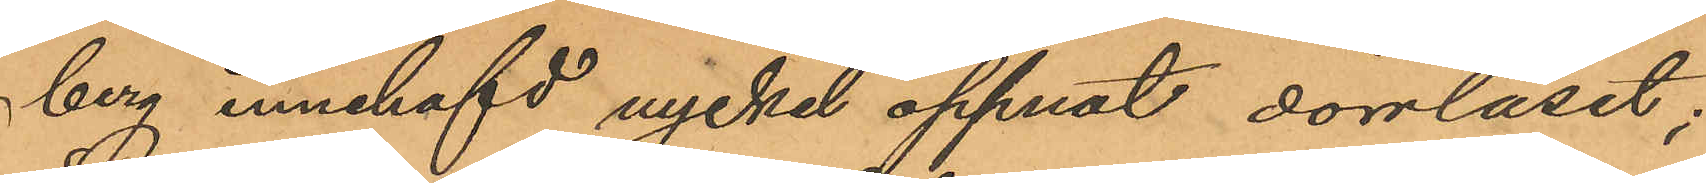berg innehafd nyckel öppnat dörrlåset;
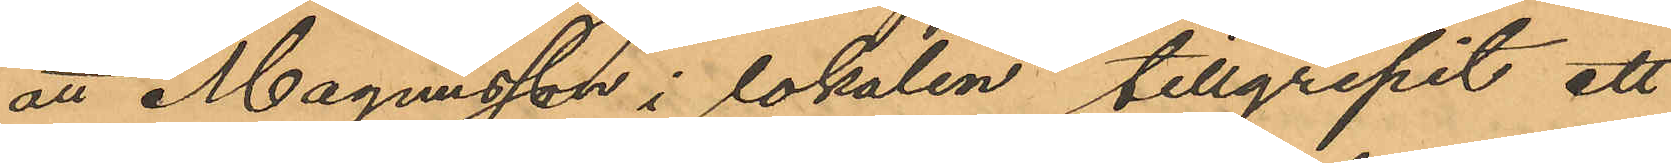att Magnusson i lokalen, tillgripit ett
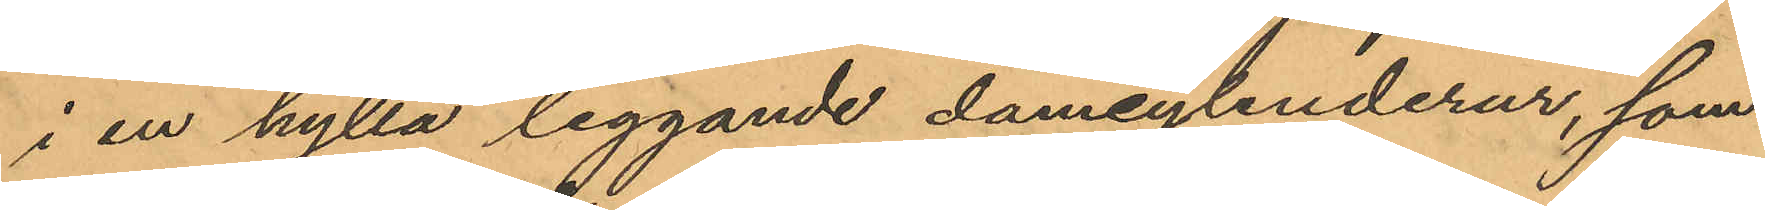i en hylla liggande damcylinderur, som
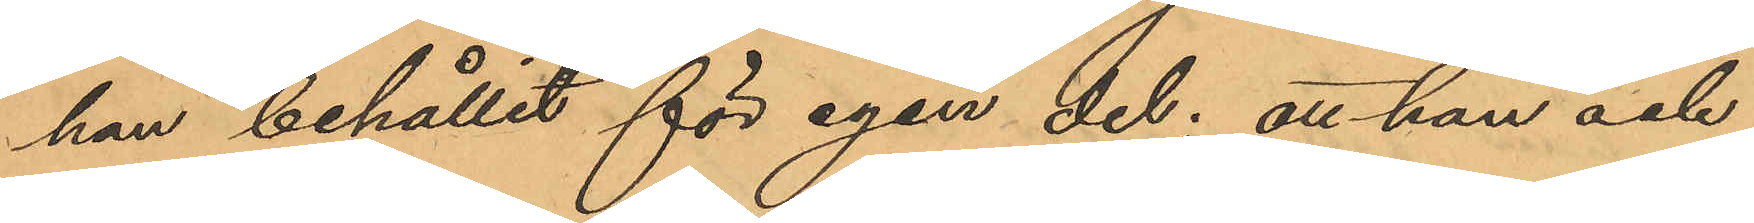han behållit för egen del; att han och
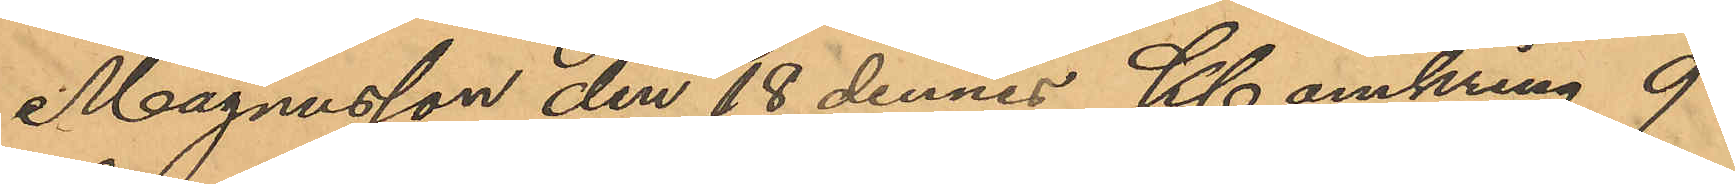Magnusson den 18 dennes Kl omkring 9
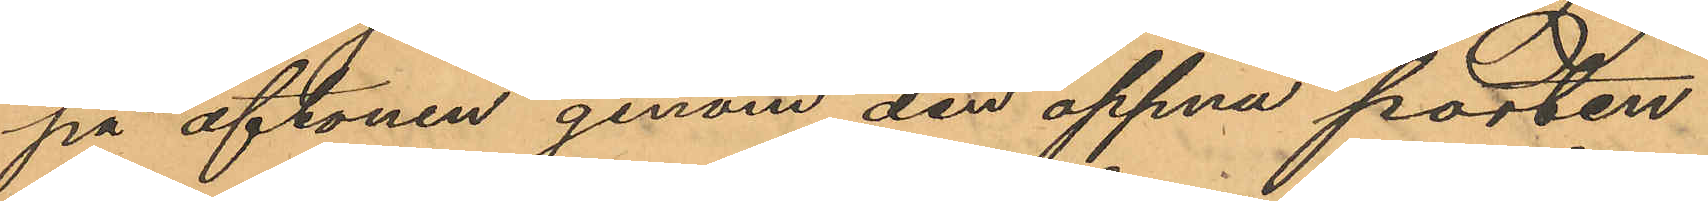på aftonen genom den öppna porten
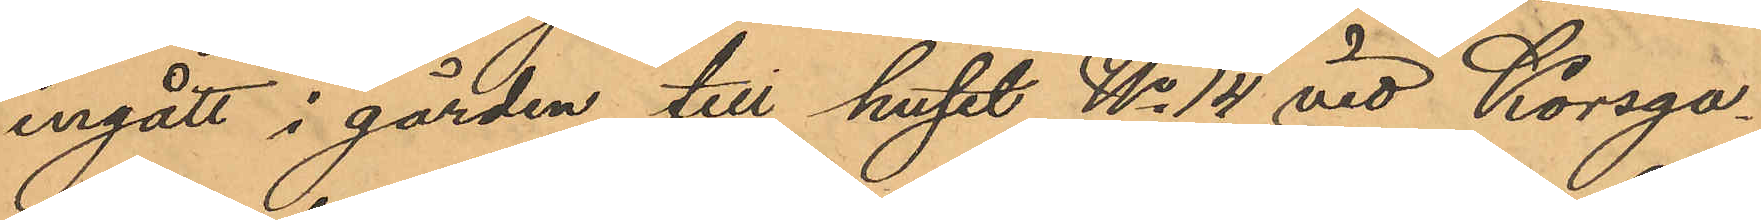ingått i gården till huset No 14 vid Korsga¬
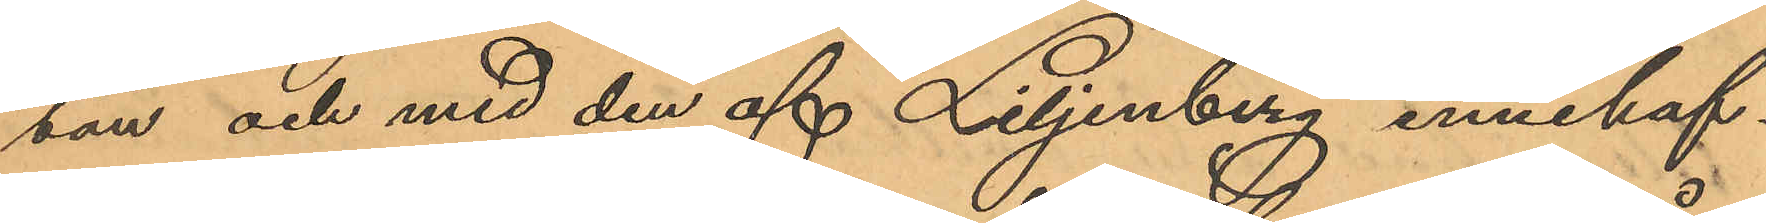tan och med den af Liljenberg innehaf¬
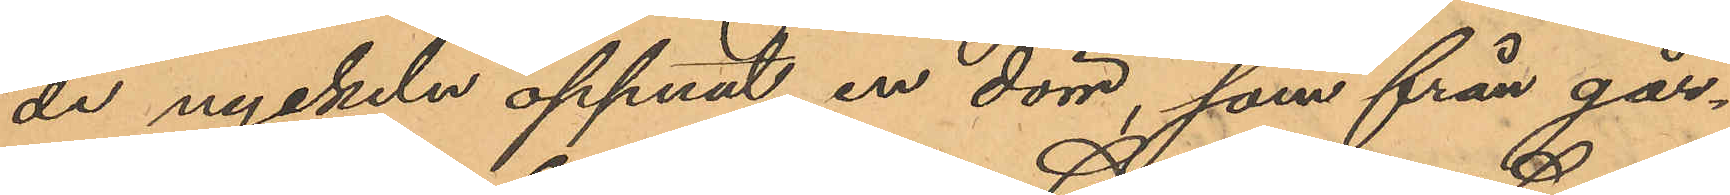de nyckeln öppnat en dörr, som från går¬
